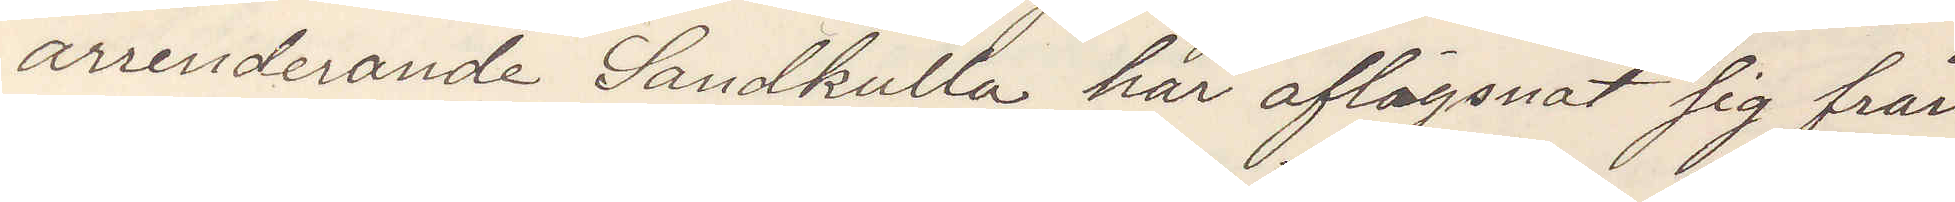arrenderande Sandkulla har aflägsnat sig från
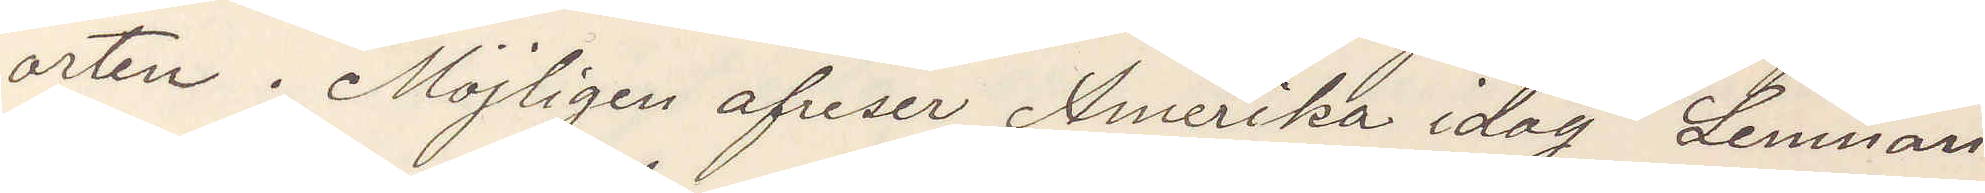orten. Möjligen afreser Amerika idag Lemnan¬
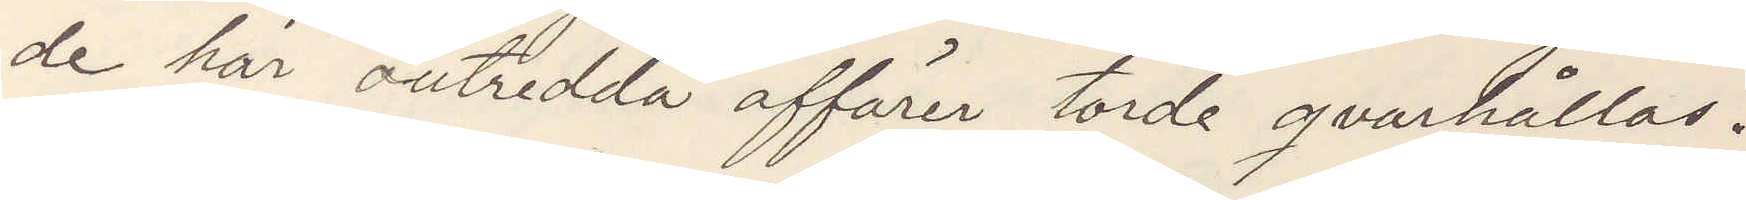de här outredda affärer torde qvarhållas.
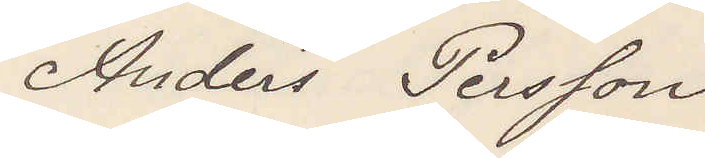Anders Persson
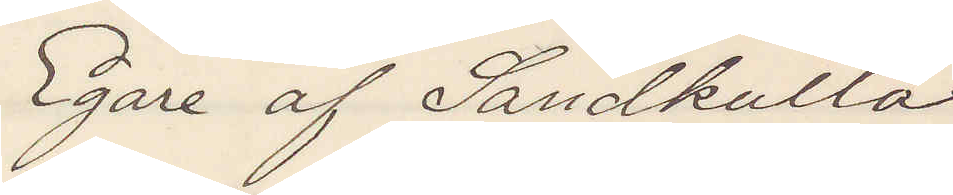Egare af Sandkulla
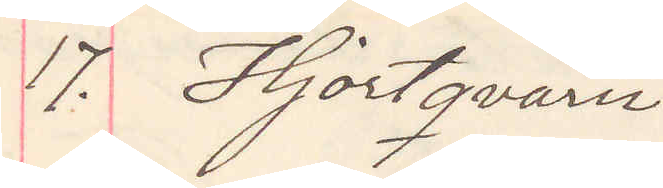17. Hjortqvarn
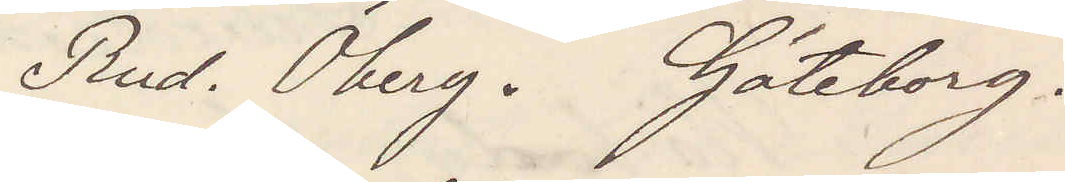Rud. Öberg. Göteborg.
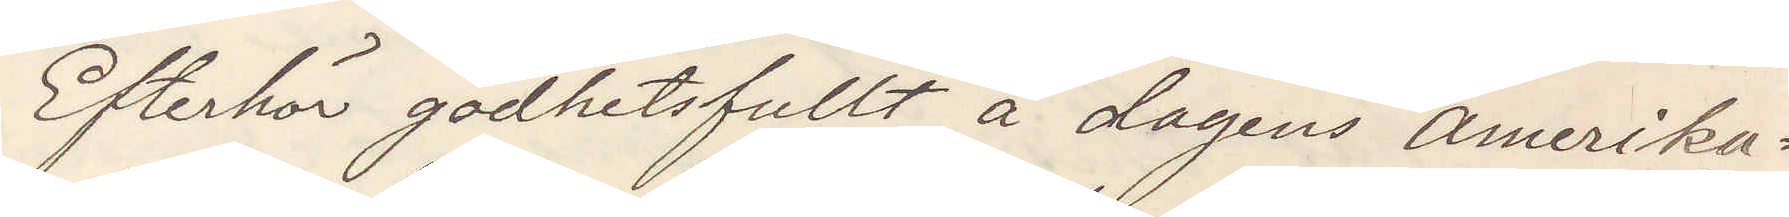Efterhör godhetsfullt å dagens Amerika¬
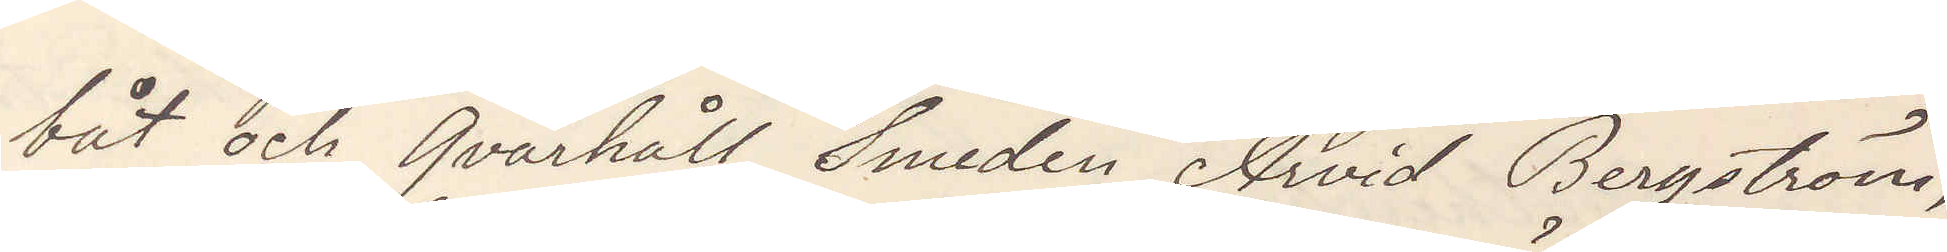båt och Qvarhåll Smeden Arvid Bergström,
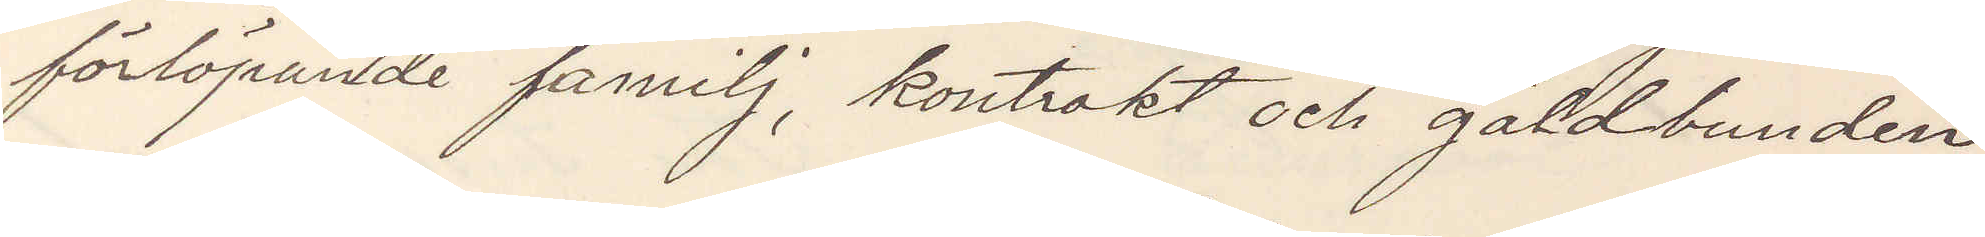förlöpande familj, kontrakt och gäldbunden
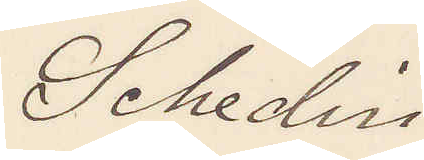Schedin
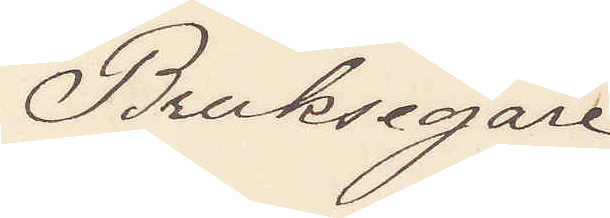Bruksegare
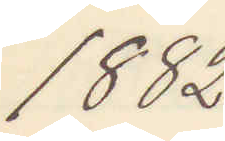1882.
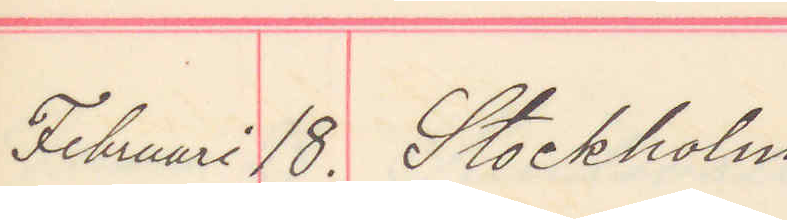Februari 18. Stockholm
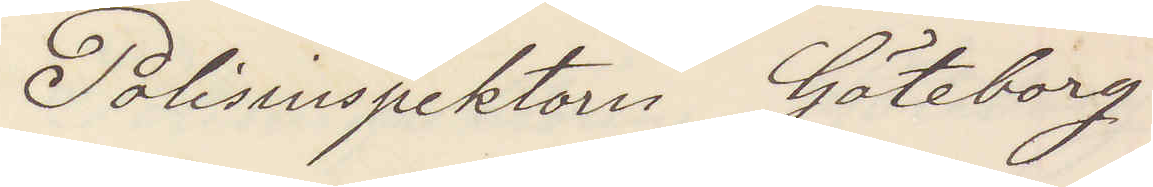Polisinspektorn Göteborg
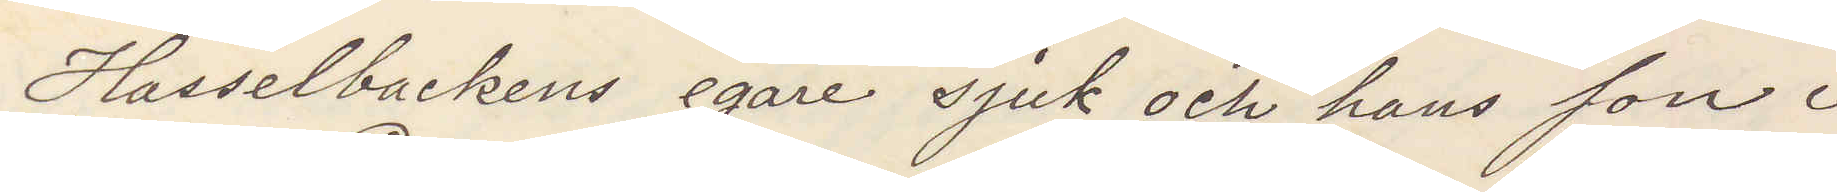Hasselbackens egare sjuk och hans son i
